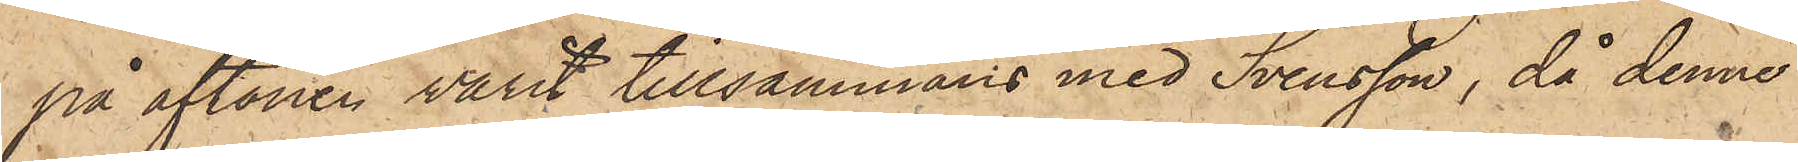på aftonen varit tillsammans med Svensson, då denne
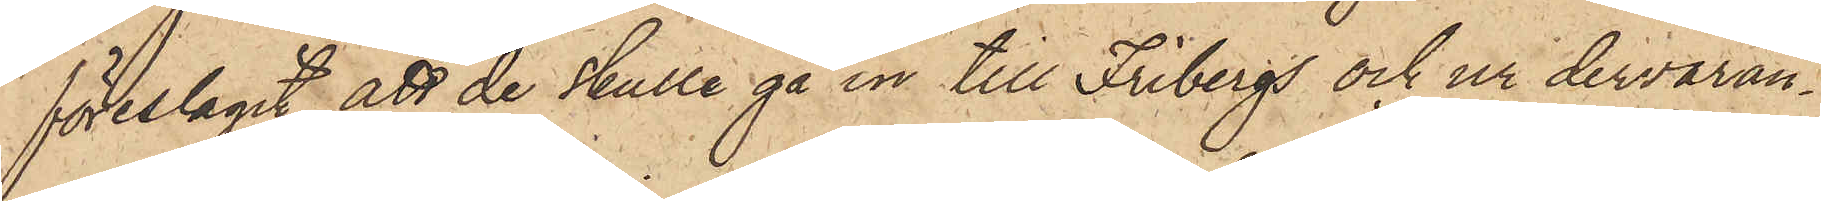föreslagit att de skulle gå in till Fribergs och ur dervaran¬
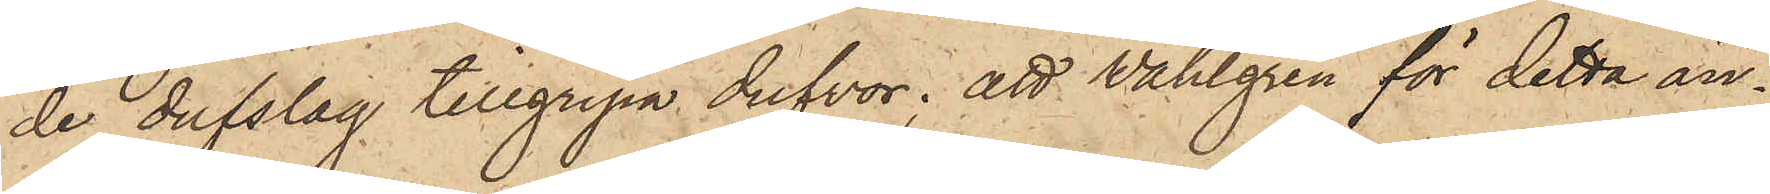de dufslag tillgripa dufvor; att Wahlgren för detta än¬
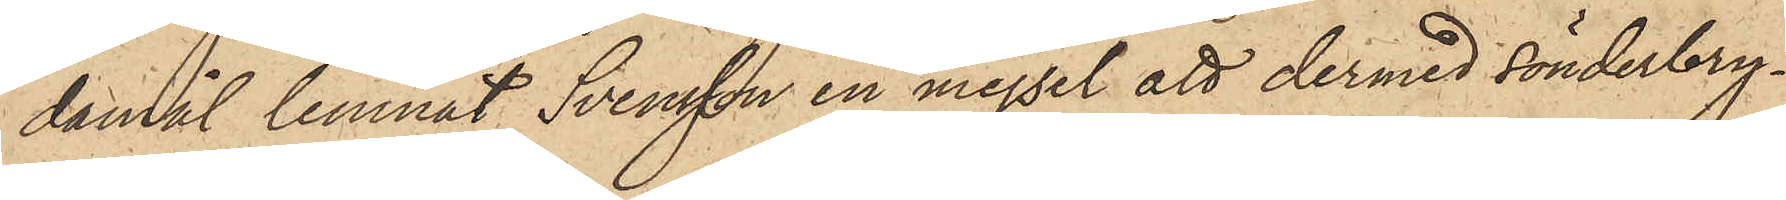damål lemnat Svensson en mejsel att dermed sönderbry¬
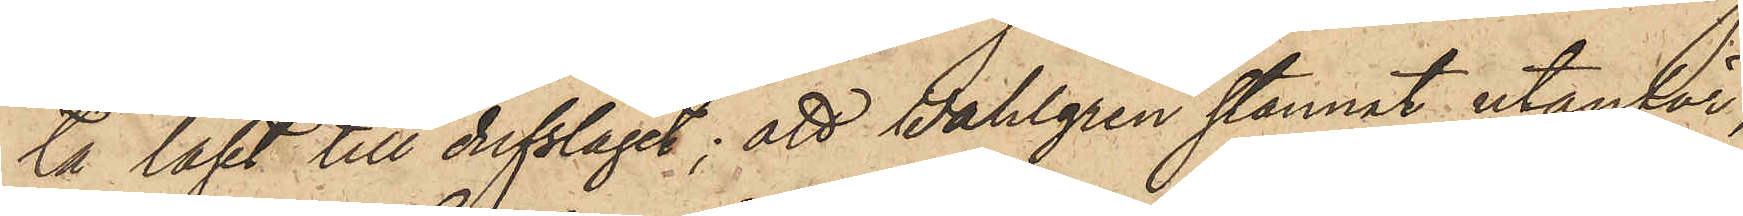ta låset till dufslaget; att Wahlgren stannat utanför
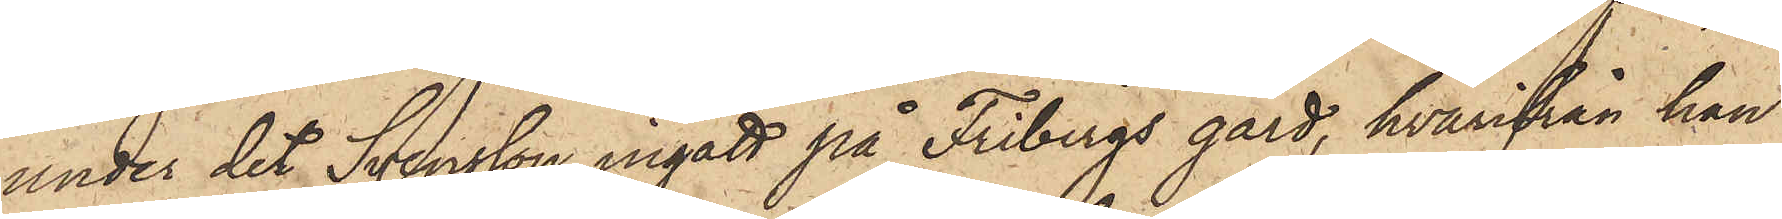under det Svensson ingått på Fribergs gård, hvarifrån han
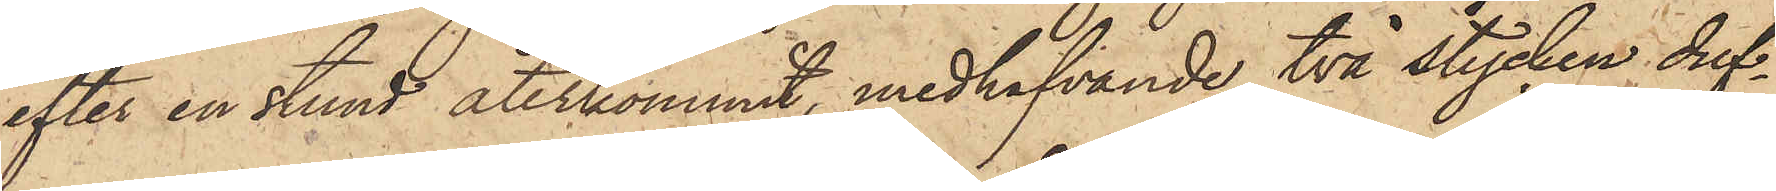efter en stund återkommit, medhafvande två stycken duf¬
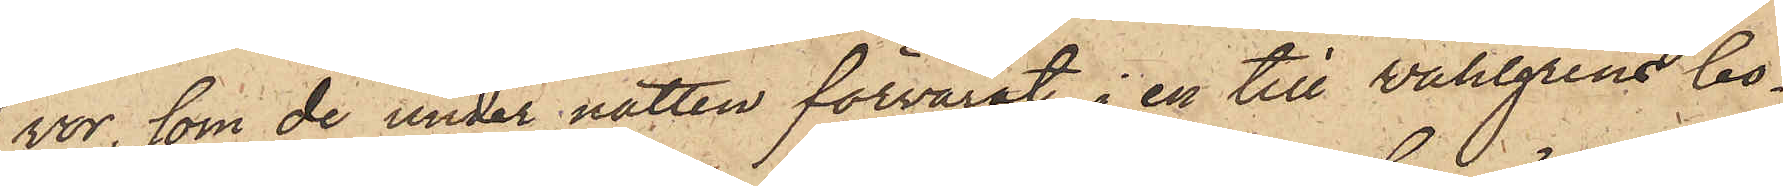vor, som de under natten förvarat i en till Wahlgrens bo¬
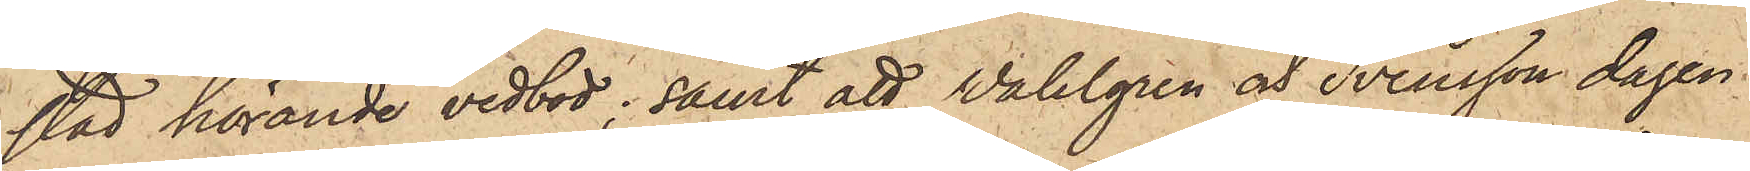stad hörande vedbod; samt att Wahlgren och Svensson dagen
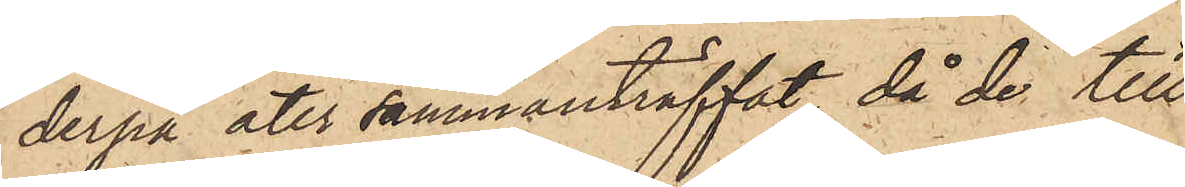derpå åter sammanträffat, då de till
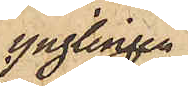ynglingen
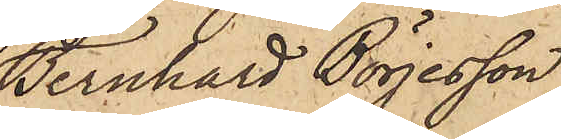Bernhard Börjesson,
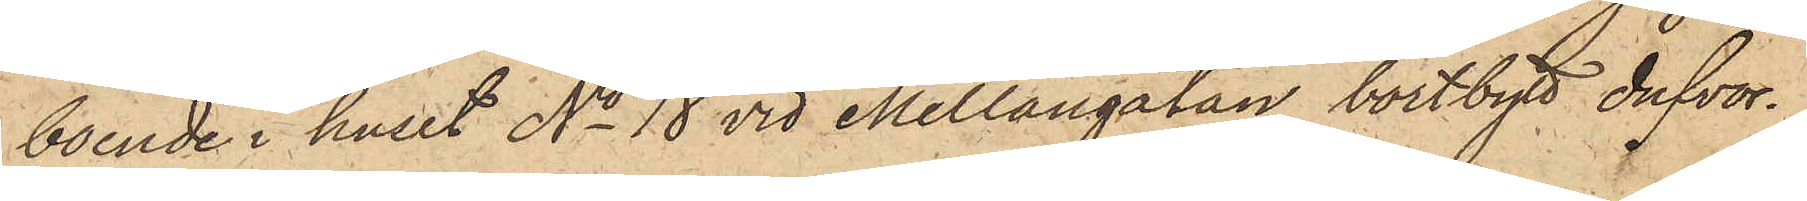boende i huset No 18 vid Mellangatan, bortbytt dufvor¬
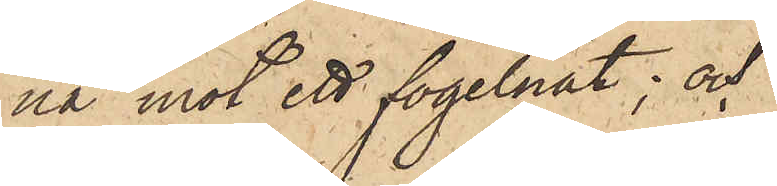na mot ett fogelnät; och
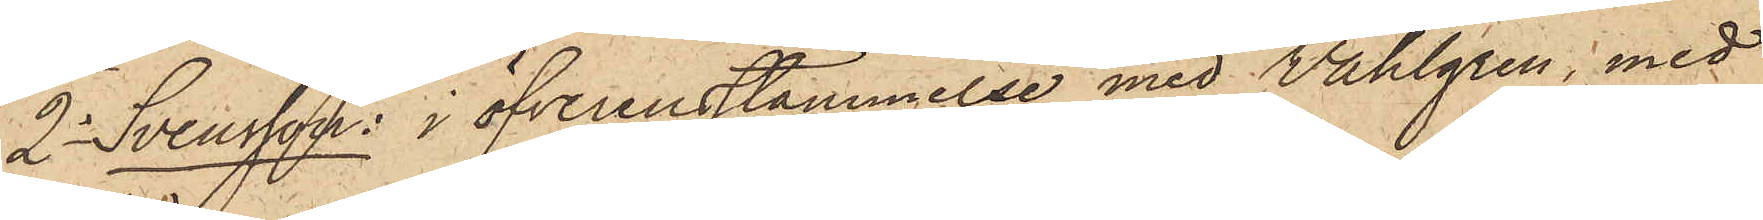2o Svensson: i öfverensstämmelse med Wahlgren, med
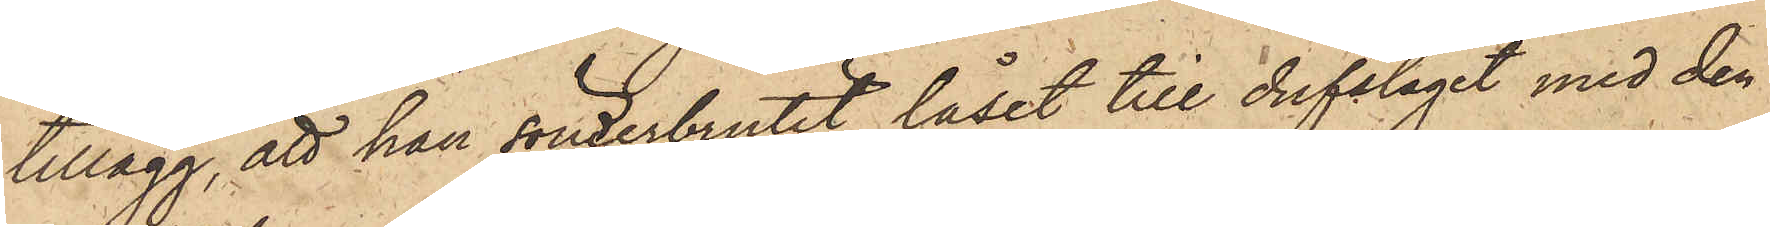tillägg, att han sönderbrutit låset till dufslaget med den
